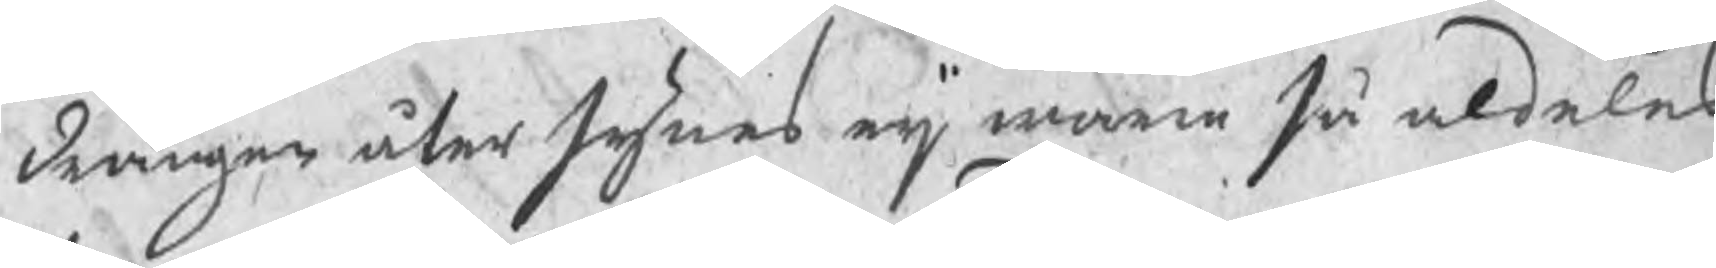drängen åter synes eij wara så aldeles
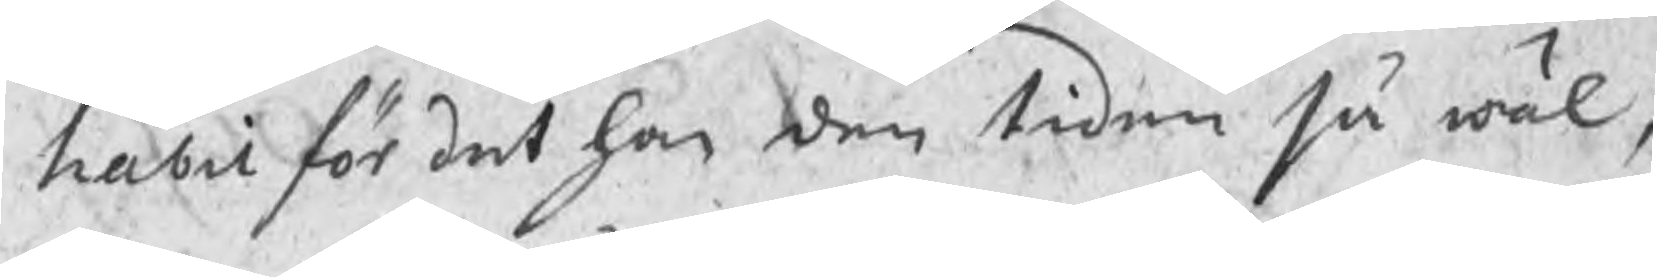habil för det han den tiden så wäl,
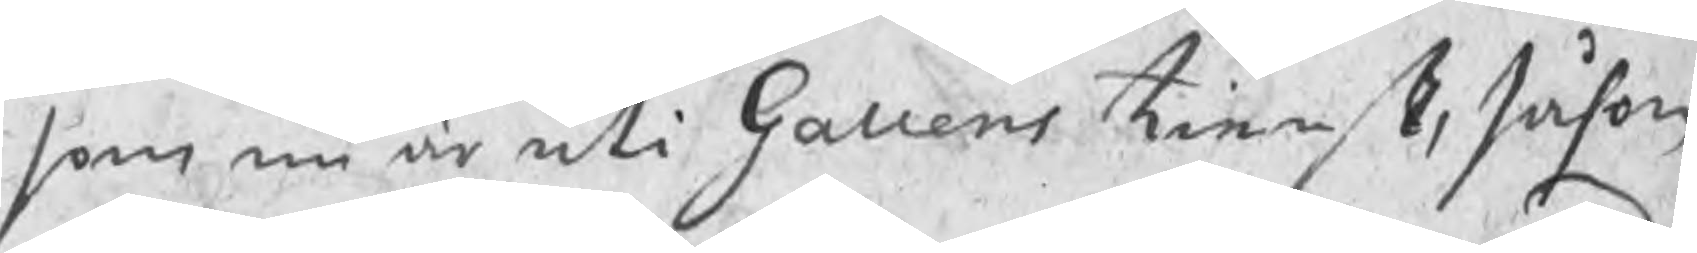som nu är uti Gallens tienst, såsom
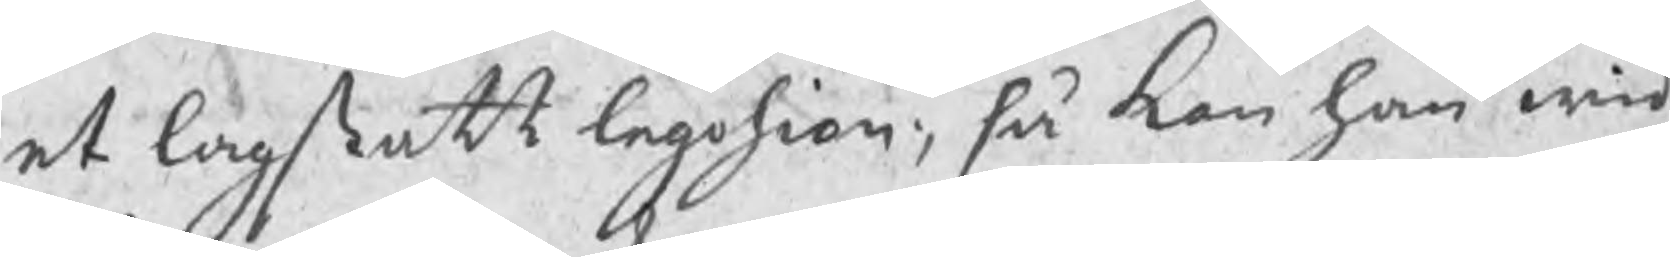et lagstatt legohion; så kan han wid
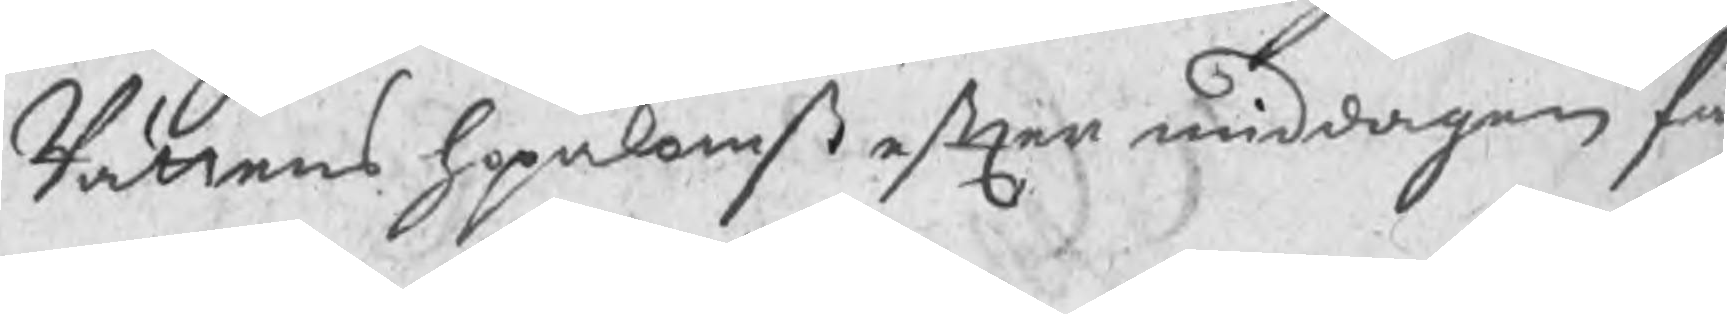Rättens hopekomst efter middagen få
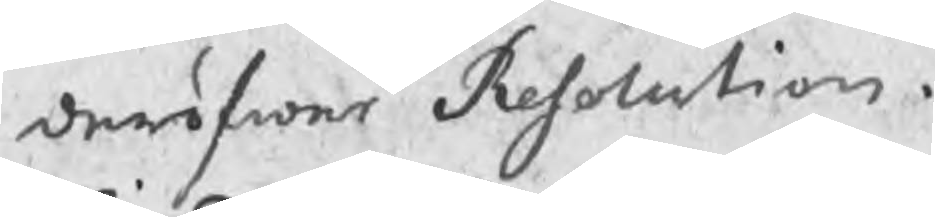deröfwer Resolution.
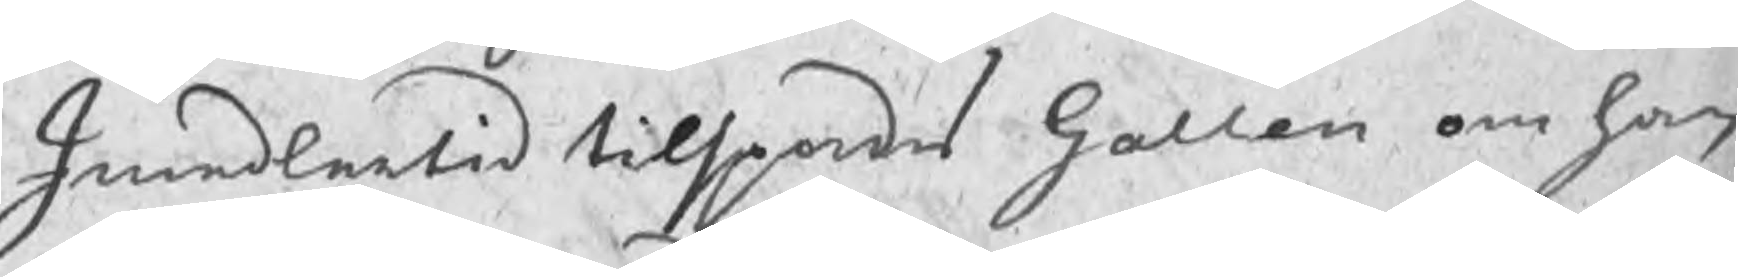Imedlertid tilspordes Gallen om han
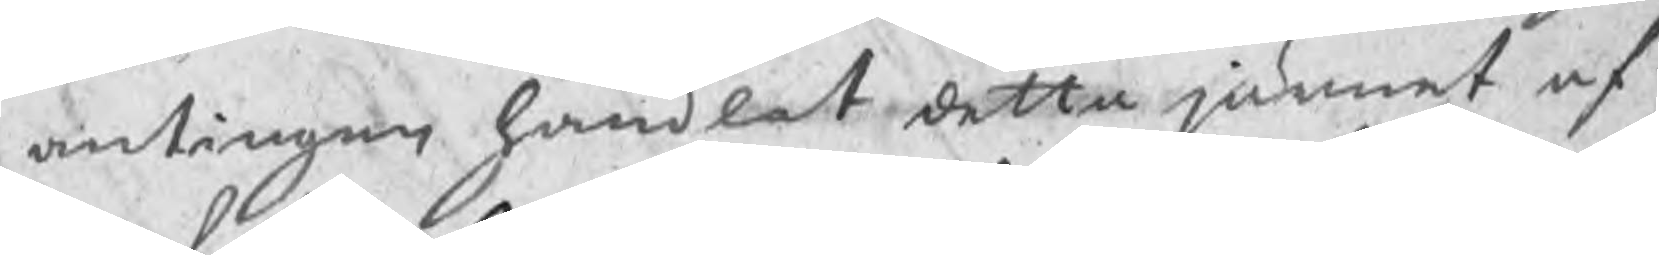antingen handlat detta järnet af
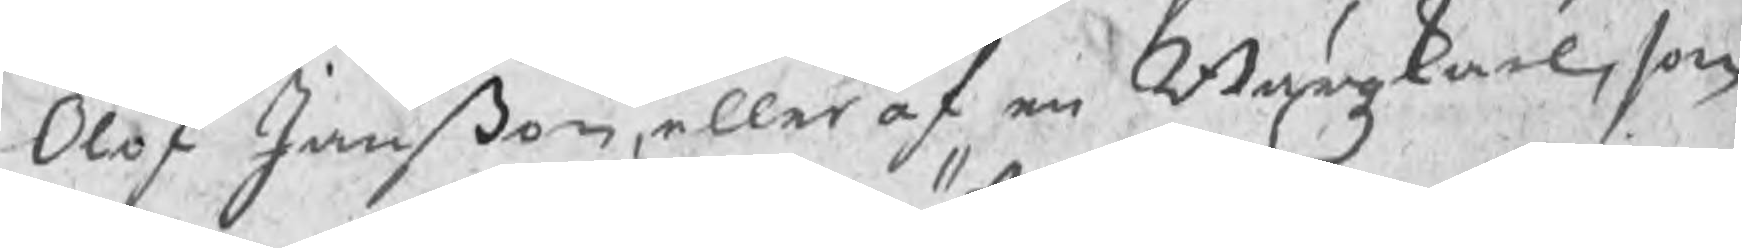Olof Janßon, eller af en Bärgzkarl, som
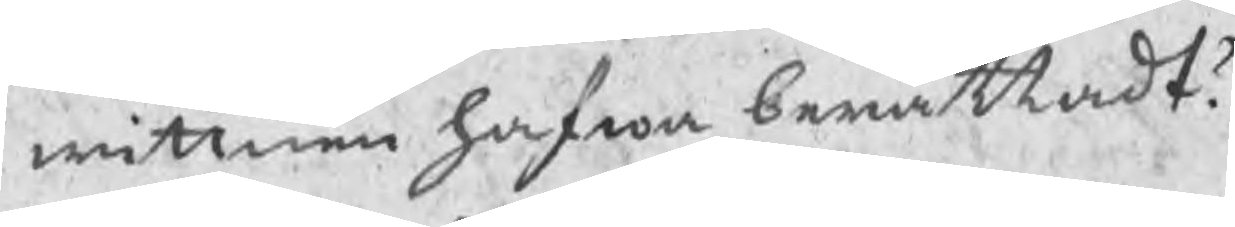wittnen hafwa berättadt?
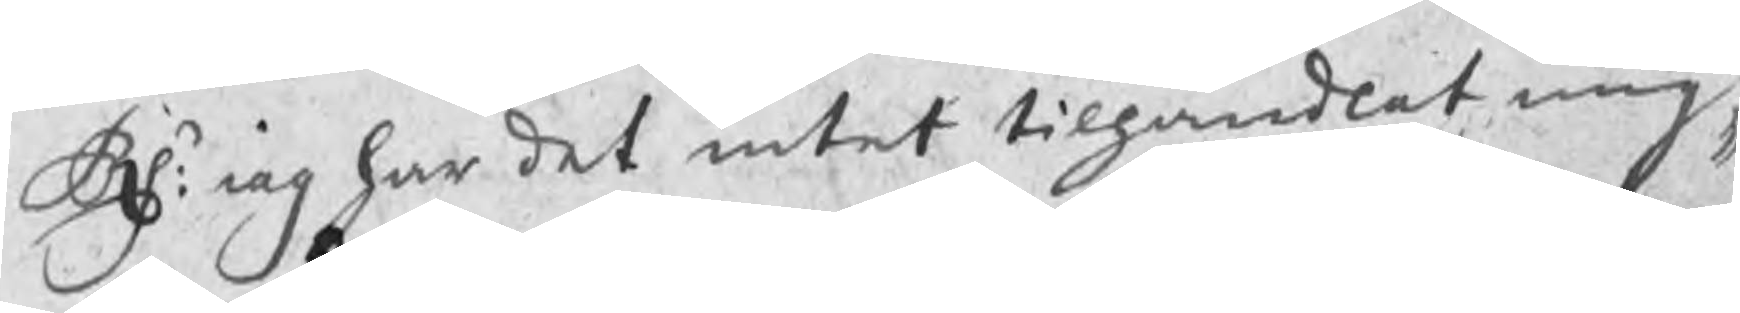Rs: iag har det intet tilhandlat mig,
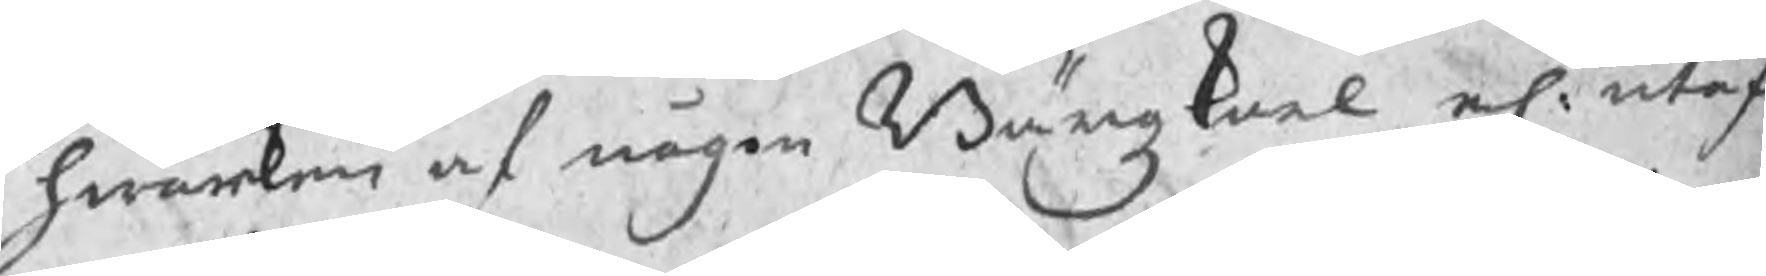hwarken af någon Bärgzkarl el. utaf
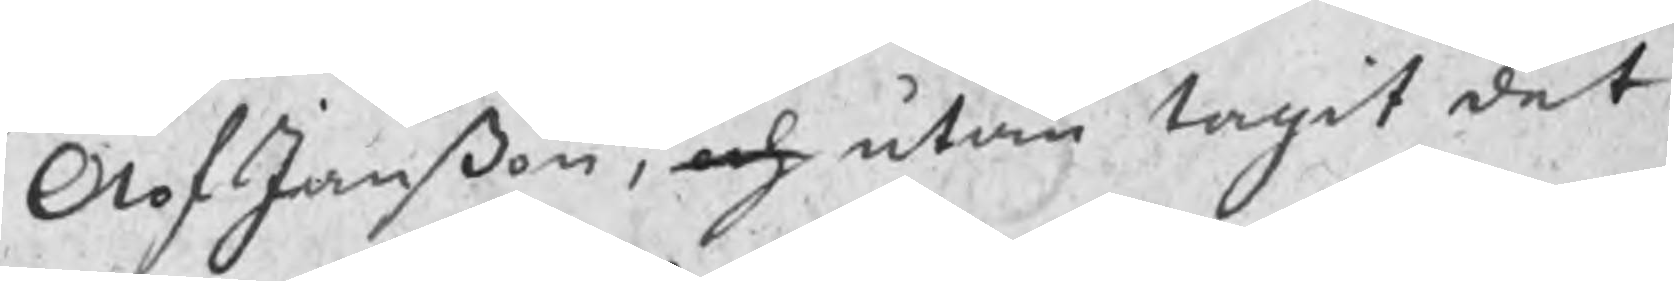Olof Janßon, och utan tagit det
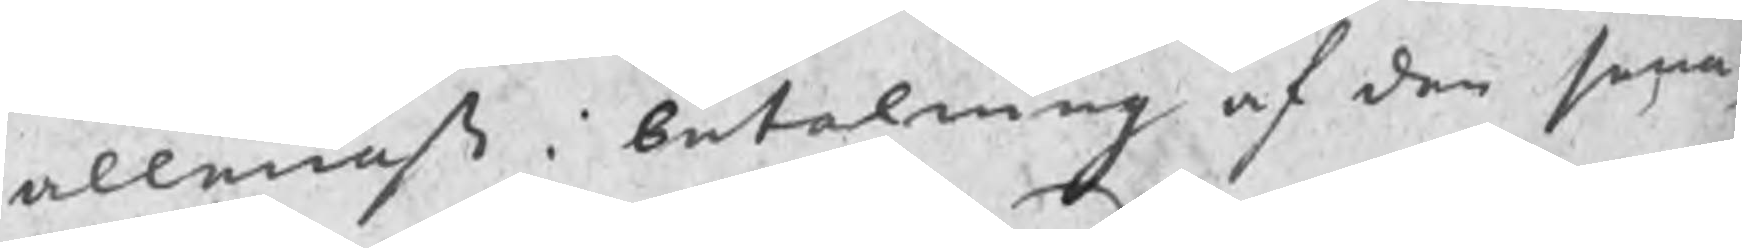allenast i betalning af den sena¬
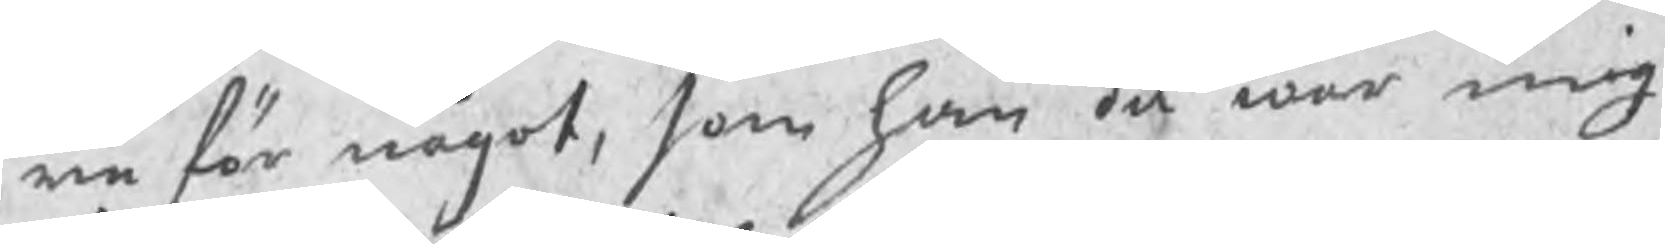re för något, som han då war mig
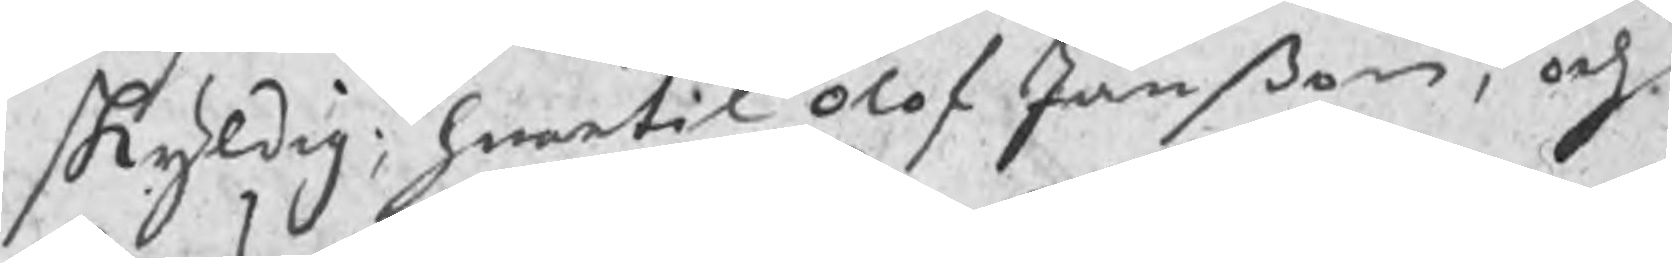skyldig; hwartil Olof Janßon, och
